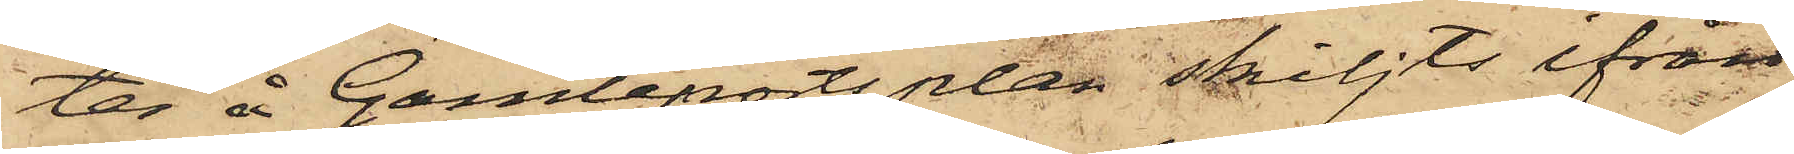ter å Gamleportsplan skiljts ifrån
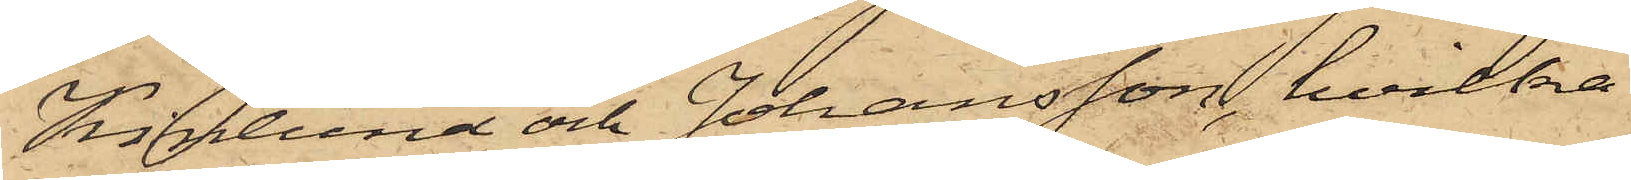Kinlund och Johansson, hvilka
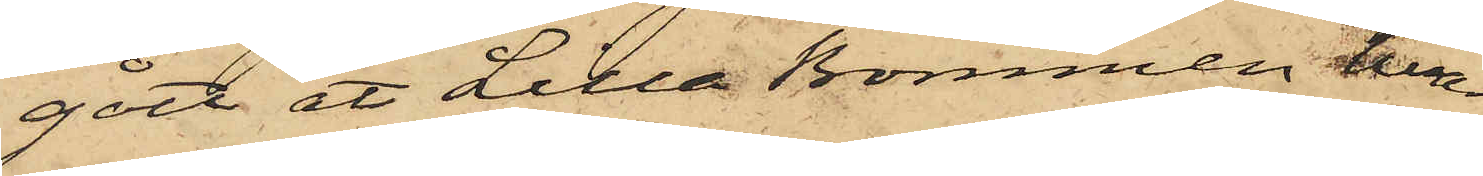gått åt Lilla Bommen, hvar¬
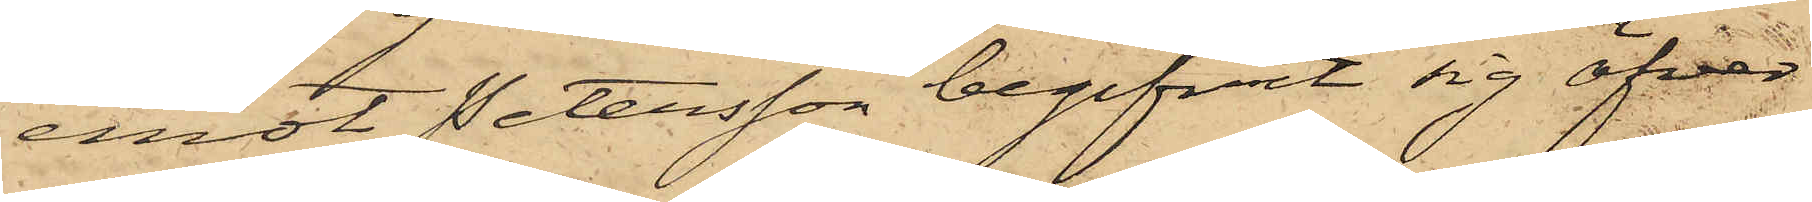emot Petersson begifvit sig öfver
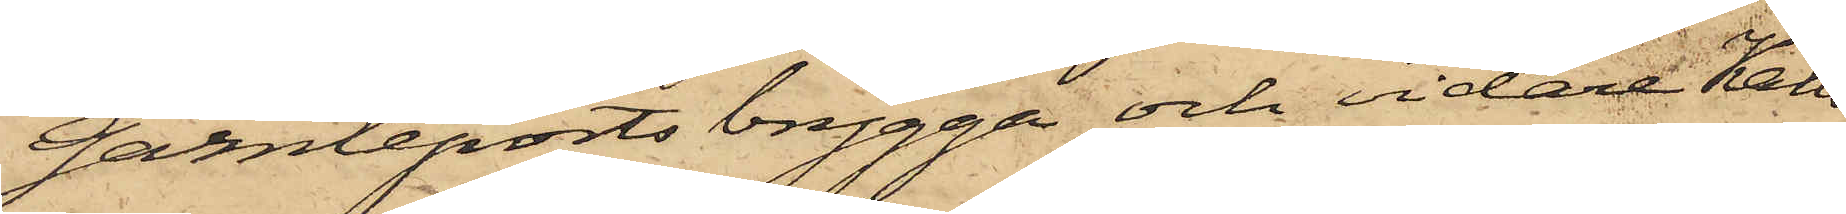Gamleports brygga och vidare Kalls
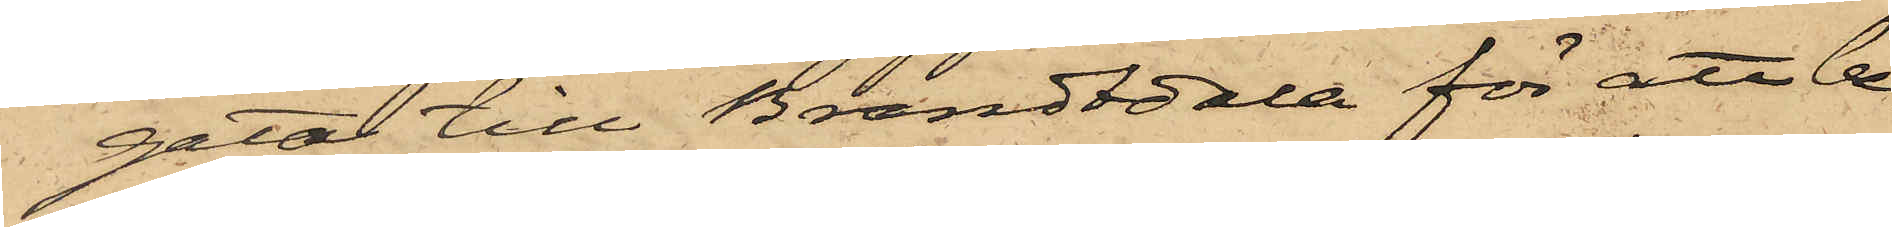gata till Brandtdala för att be¬
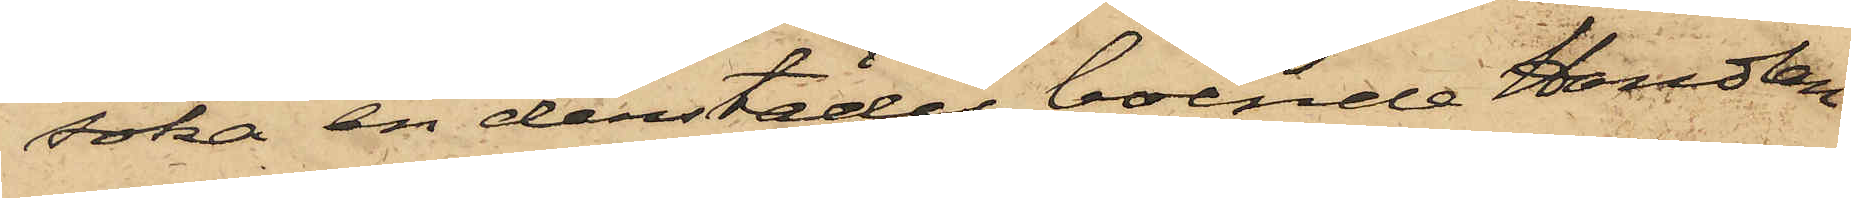söka en derstädes boende Handlan¬
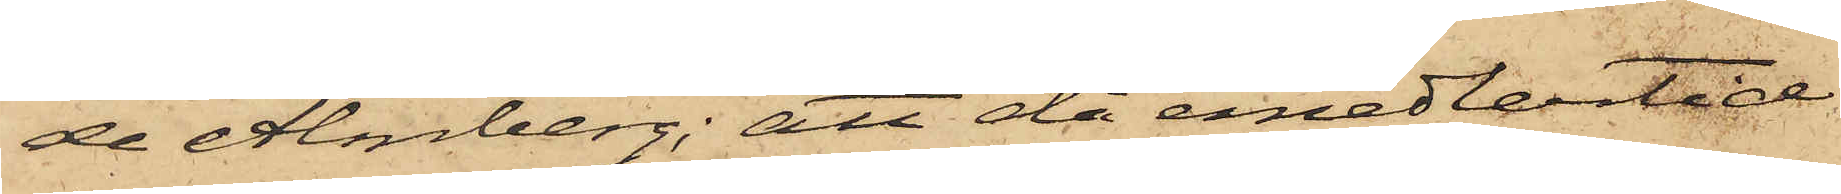de Almberg; att då emedlertid
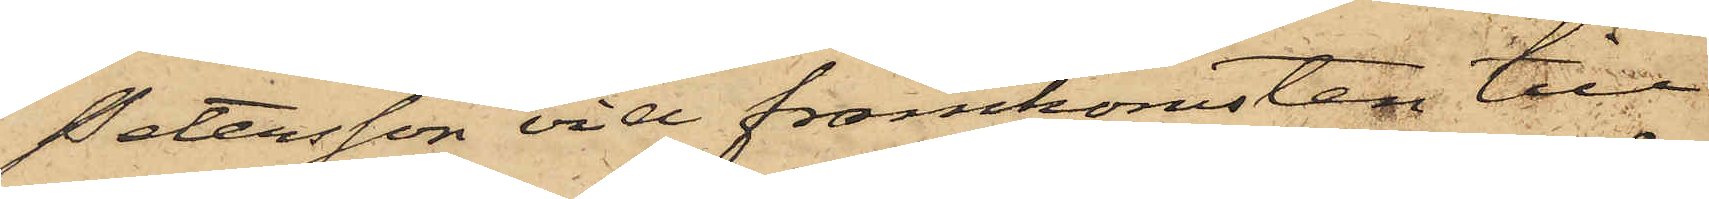Petersson vid framkomsten till
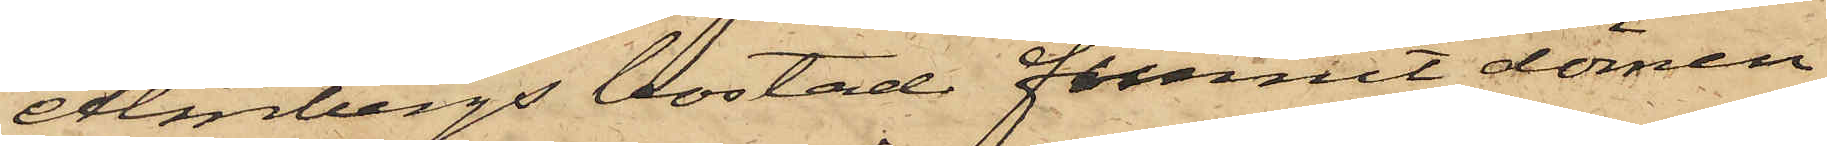Almbergs bostad funnit dörren
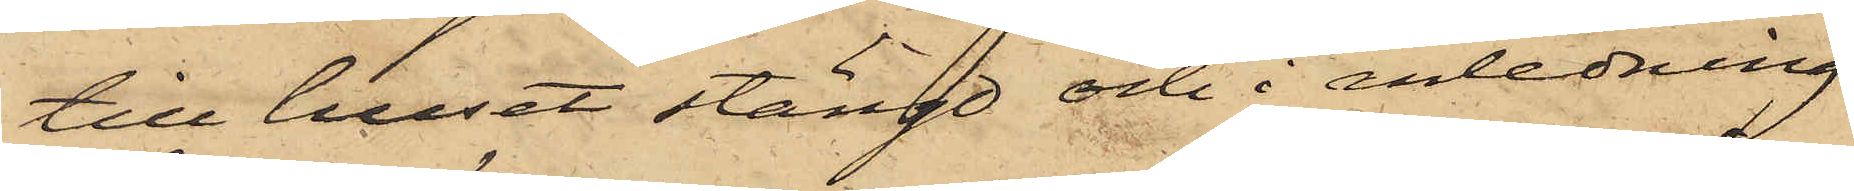till huset stängd och i anledning
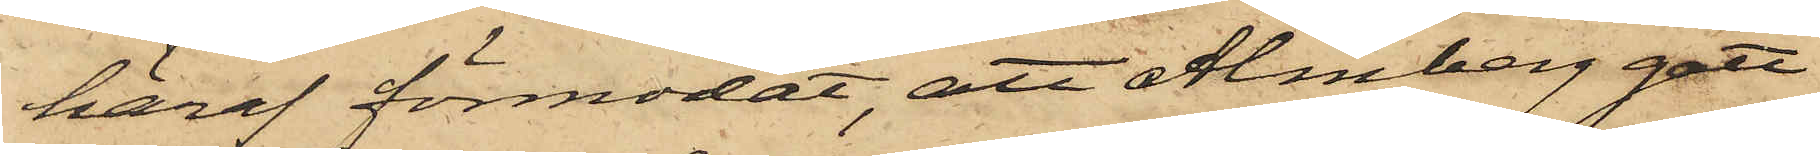häraf förmodat, att Almberg gått
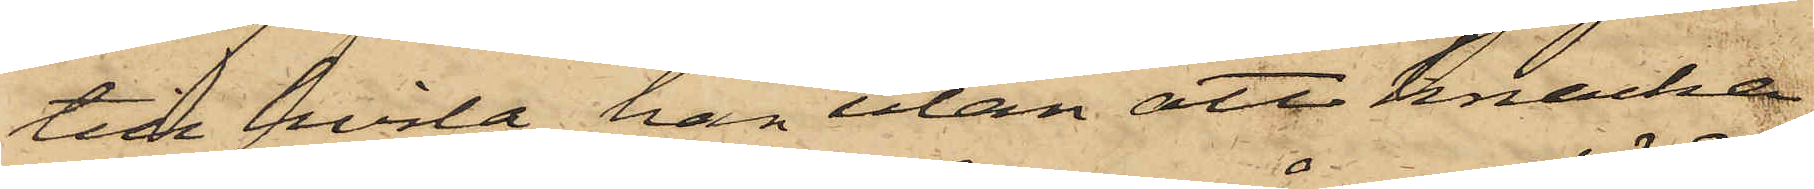till hvila, han utan att knacka
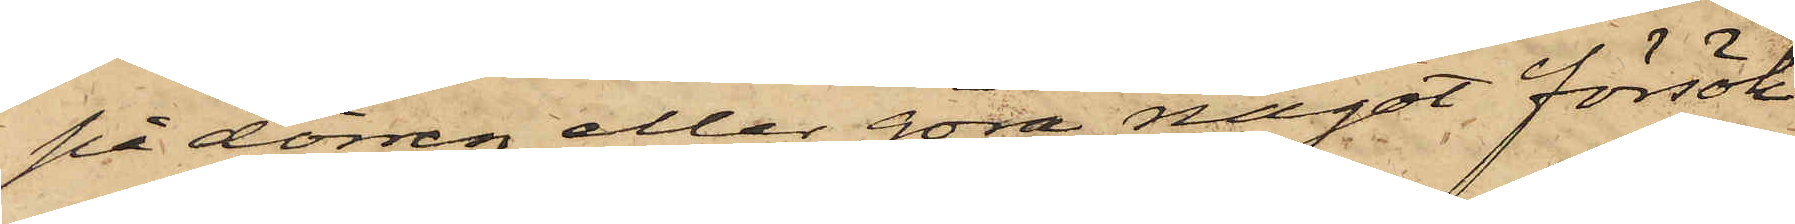på dörren eller göra något försök
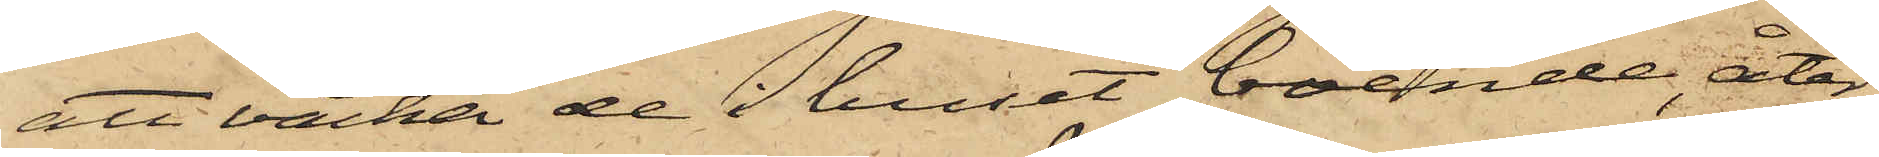att väcka de i huset boende, åter¬
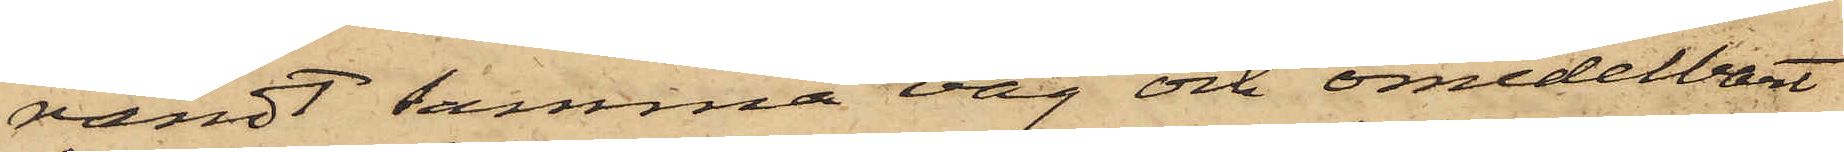vändt samma väg och omedelbart
